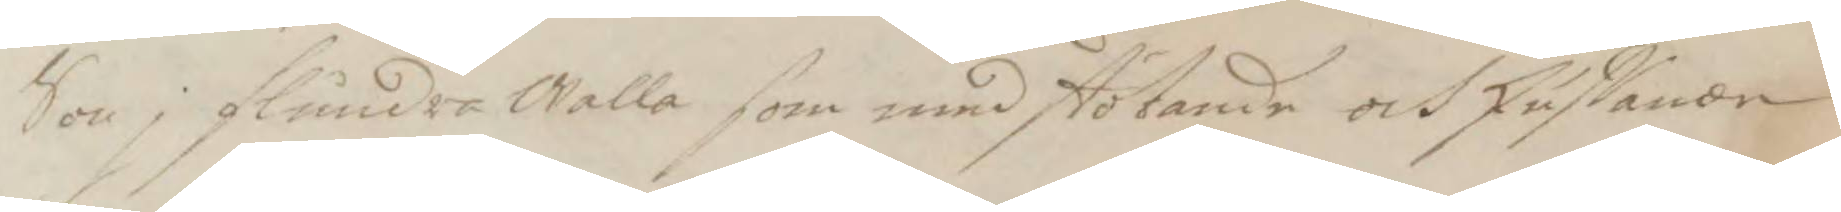Son j flundra Walla som med stötande och skuffande
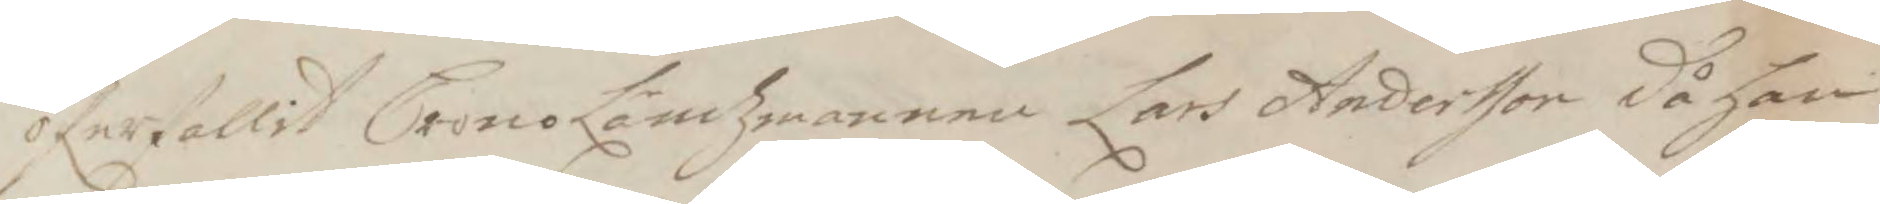öferfallit CronoLäntzmannen Lars Andersson då han
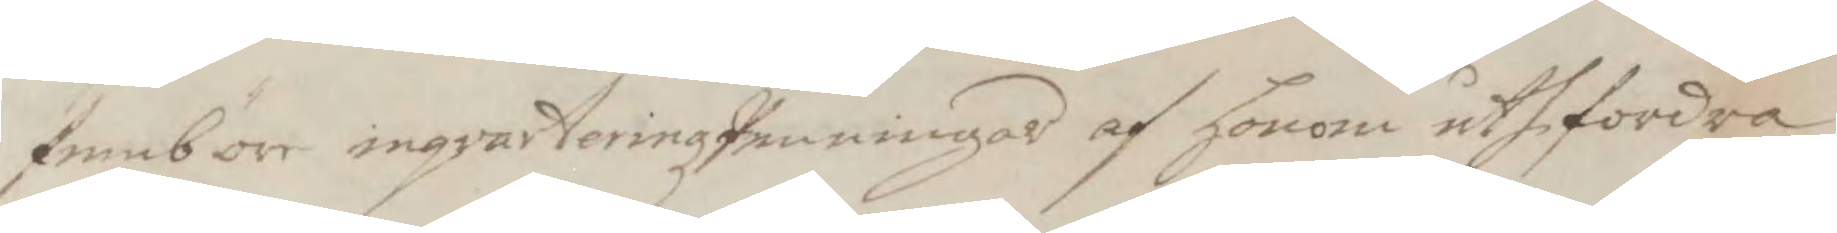fembön inqvarteringzPenningar af honom uthfordra
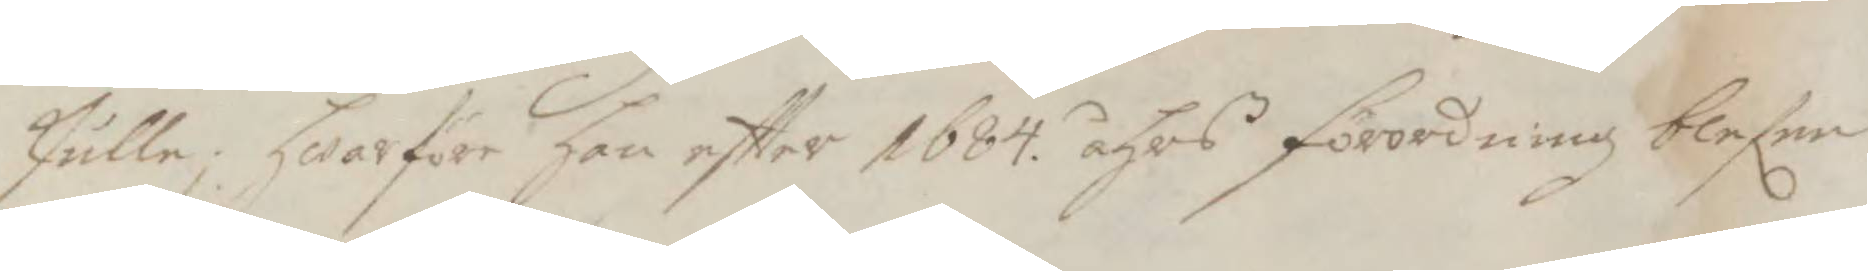skulle; hwarföre han eftter 1684. åhrs förordning blefer
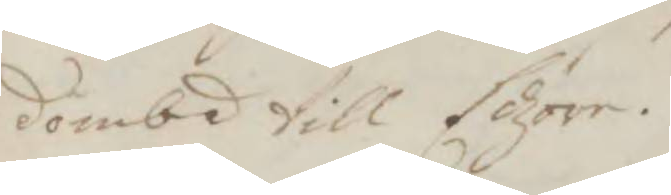dömbd till Edzöre.
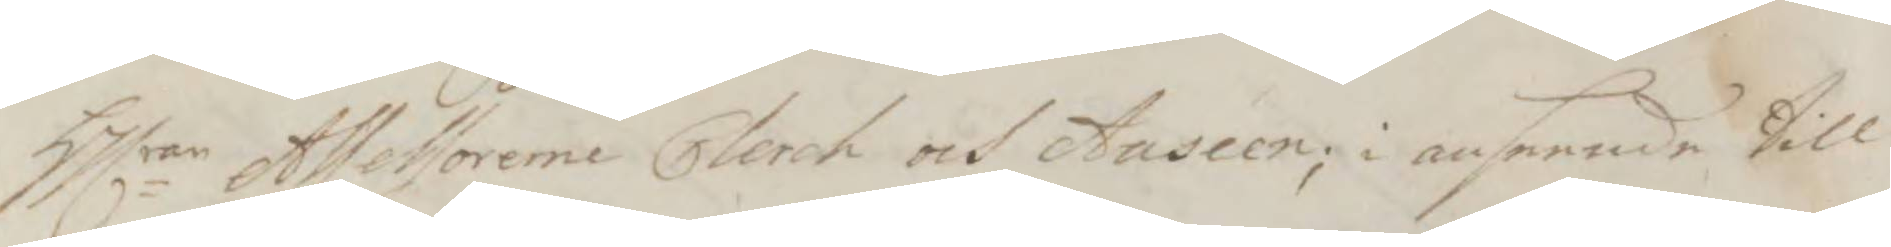Hlrar Assessorerne Clerck och Anseen; i anseende till
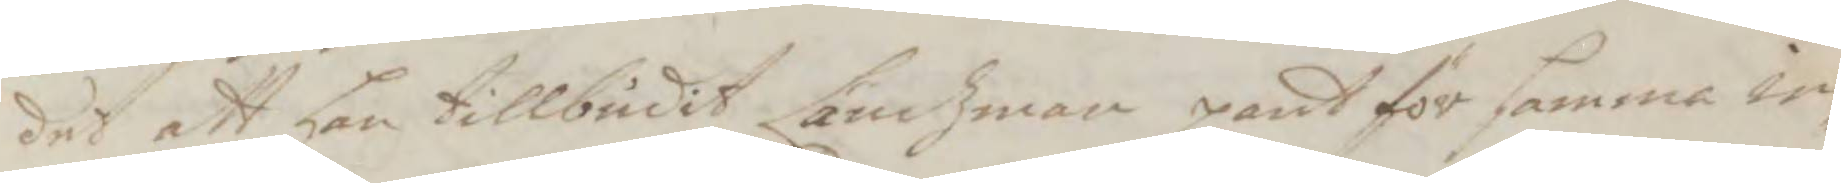det att han tillbudit Ländzman pant för samma in¬
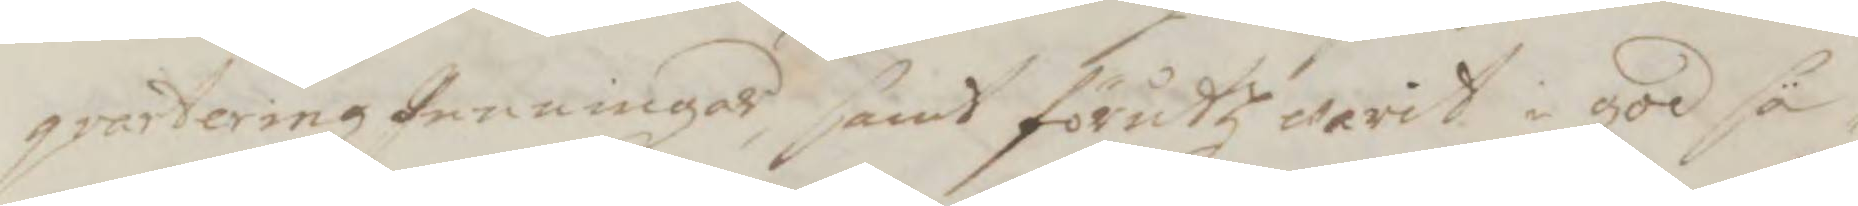qvarteringzPenningar samt förutz warit i god sä¬
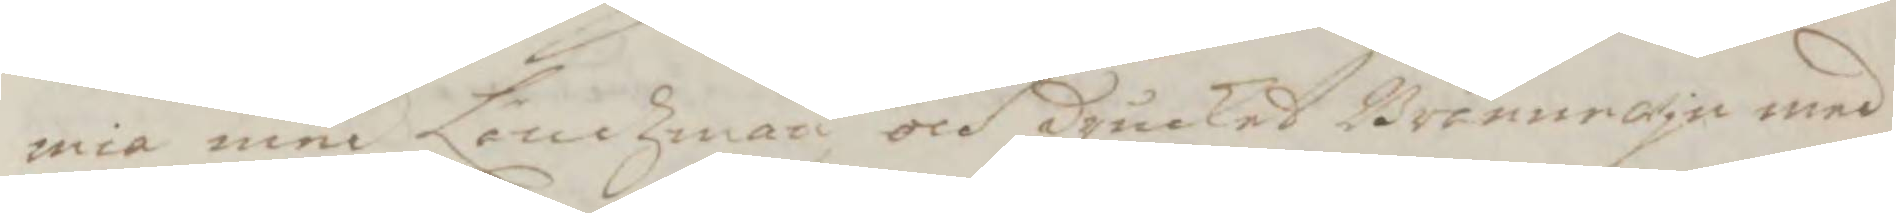mia med Ländzman och Druckit Brännewjn med
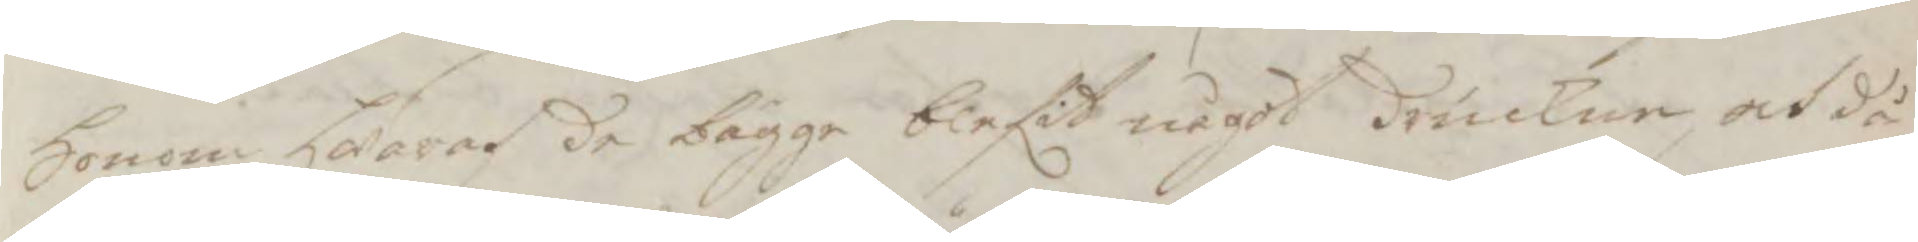honom, hwaraf de bägge blefit något druckne, och då
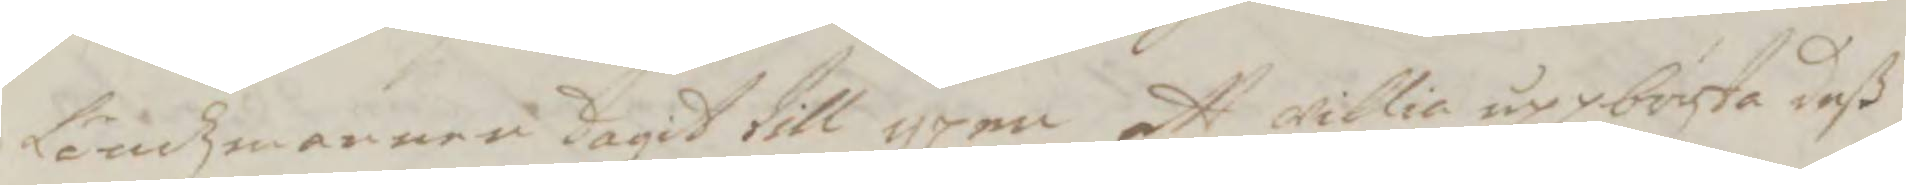Ländzmannen tagit till yxan att willia uppbryta deß
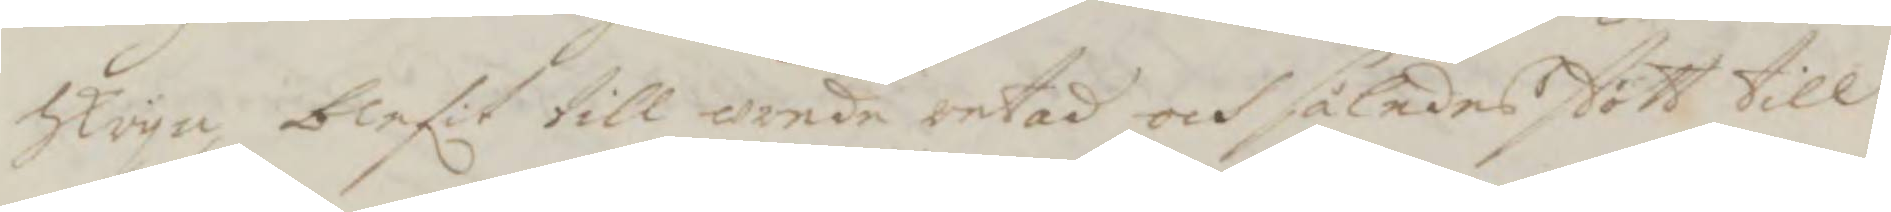sktyna, blefit till wrede retad och således stött till
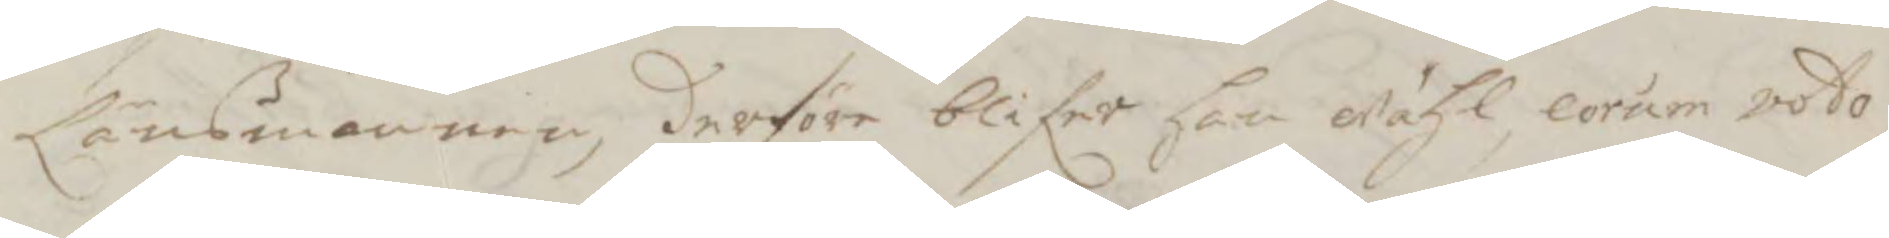Länsmannen, derföre blifer han wähl, corum voto,
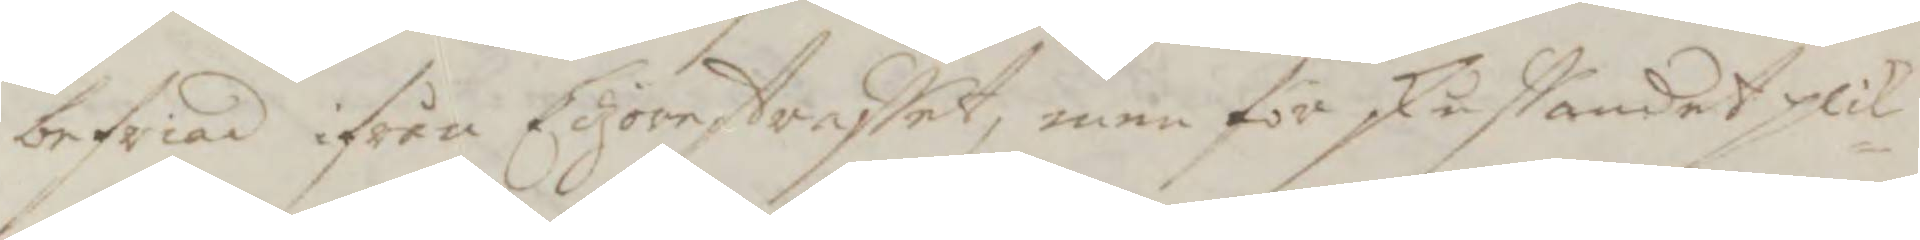befriad ifrån Edzörestraffet, men för skuffandet plik¬
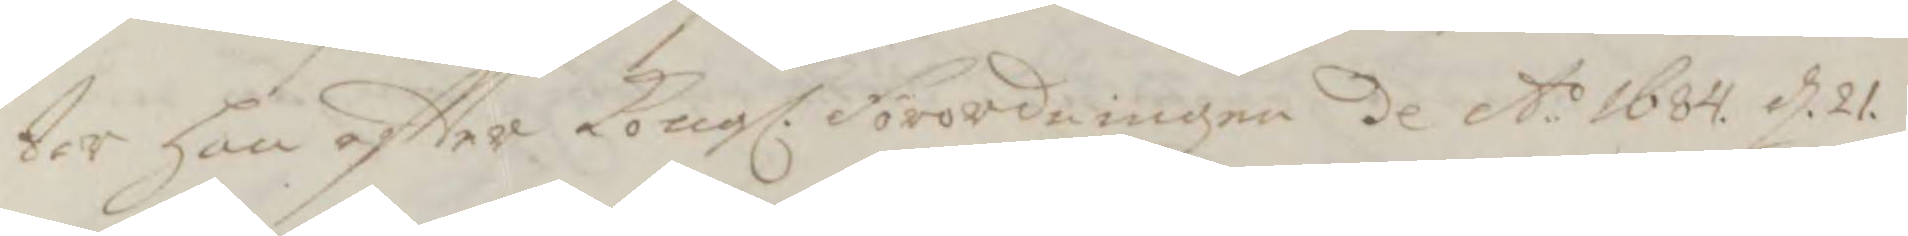tar han eftter Kongl. Förordningen dl A:o 1684. d. 21.
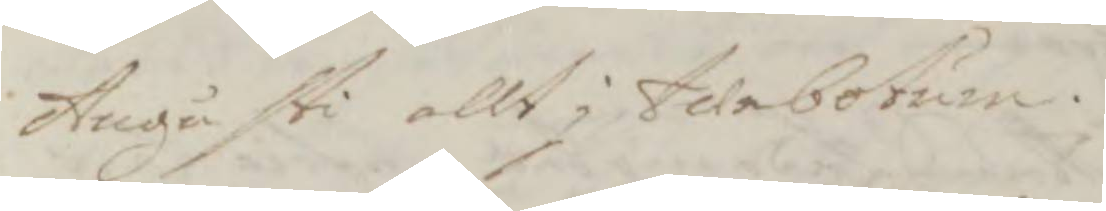Augusti allt i twebotum.
